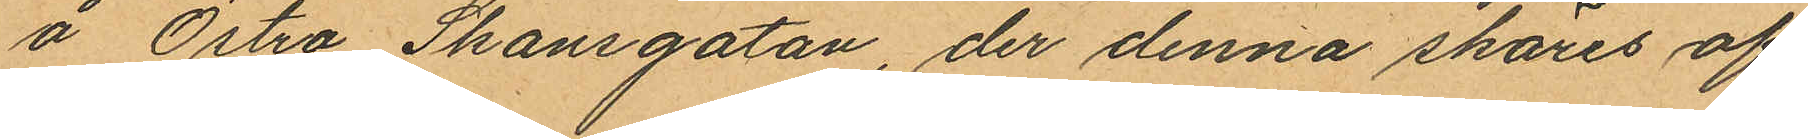å Östra Skansgatan, der denna skäres af
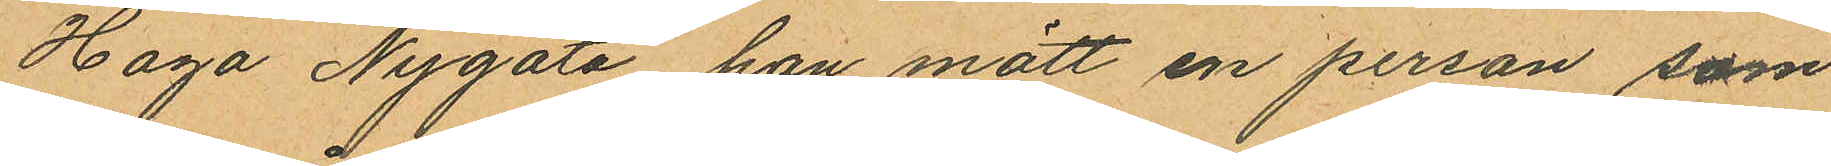Haga Nygata han mött en person som
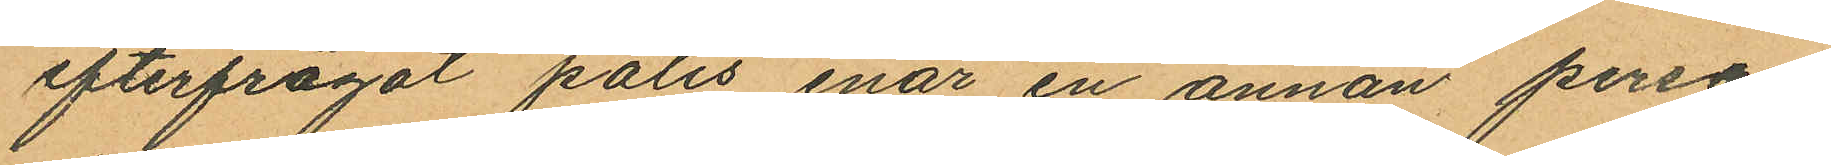efterfrågat polis enär en annan person
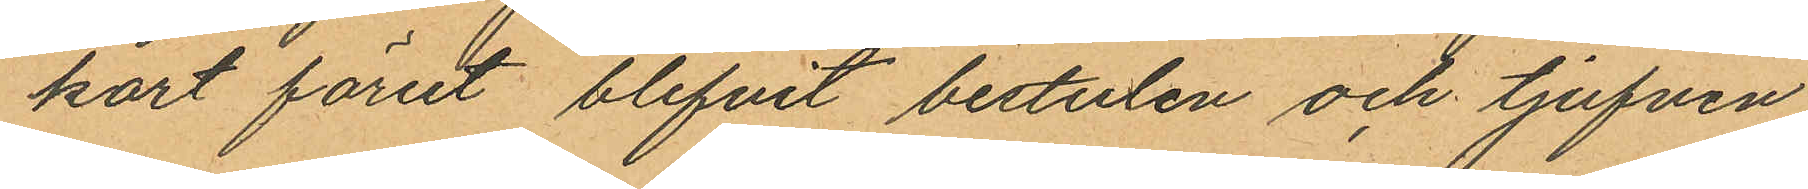kort förut blifvit bestulen och tjufven
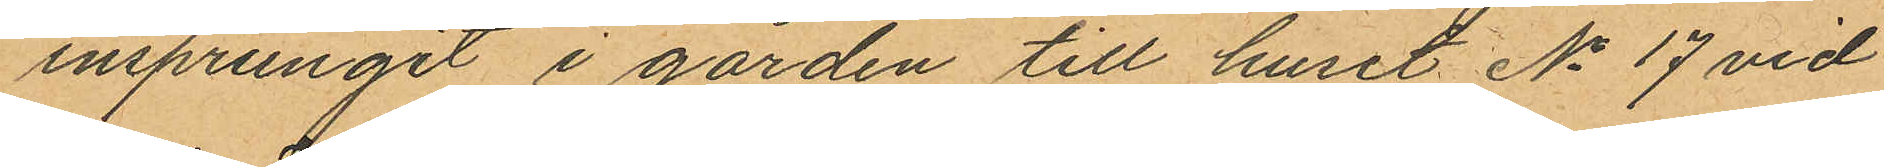insprungit i gården till huset No 17 vid
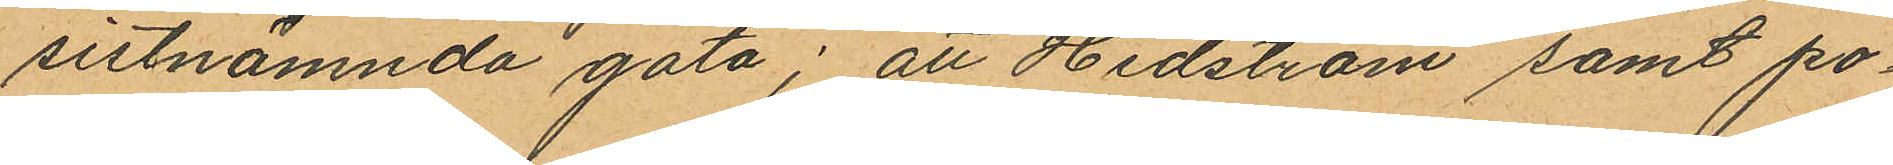sistnämnda gata; att Hedström samt po¬
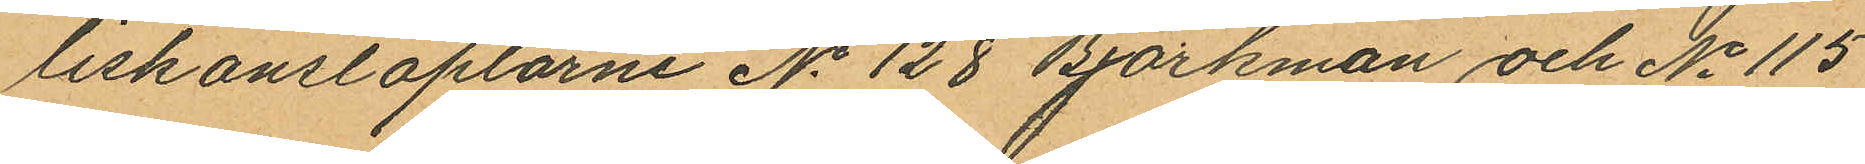liskonstaplarne No 128 Björkman och No 115
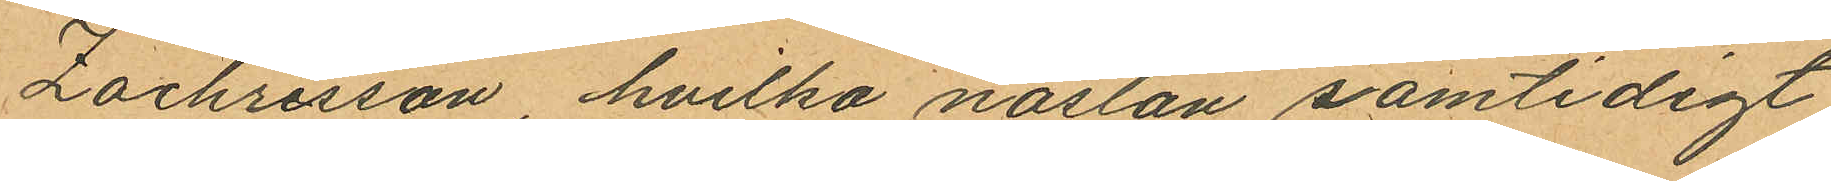Zachrisson, hvilka nästan samtidigt
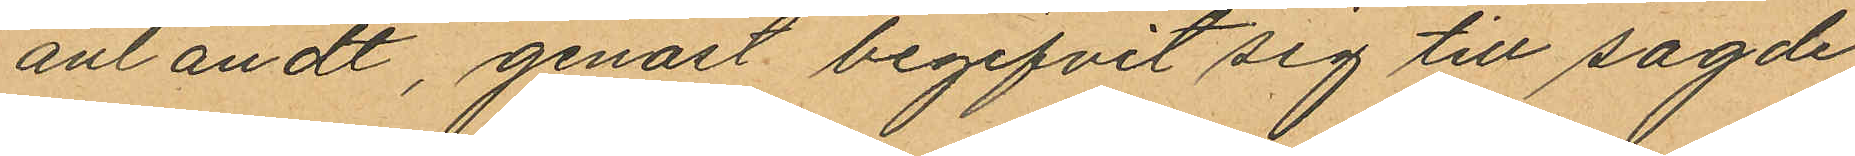anländt, genast begifvit sig till sagde
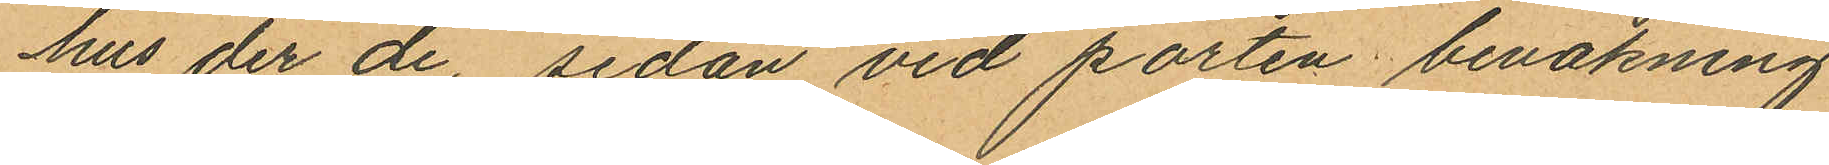hus der de, sedan vid porten bevakning
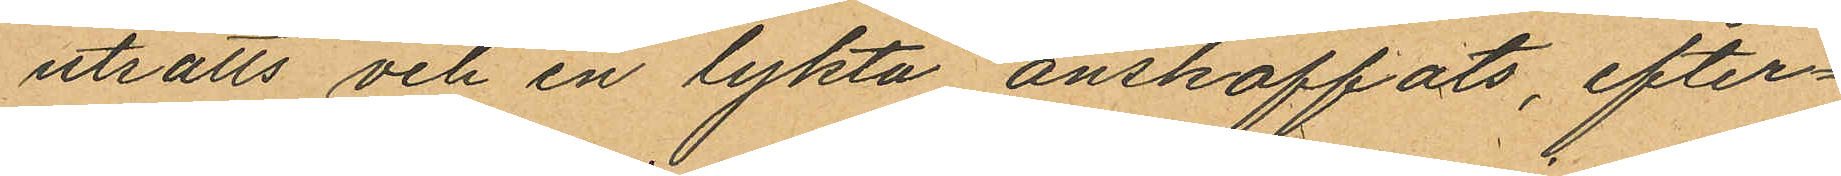utsatts och en lykta anskaffats, efter¬
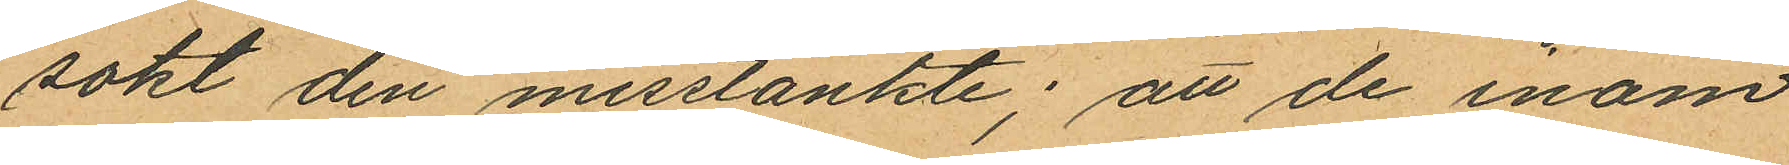sokt den misstänkte; att de inom
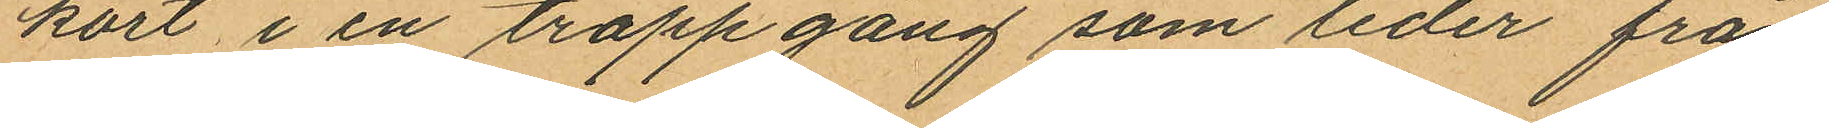kort i en trappgång som leder från
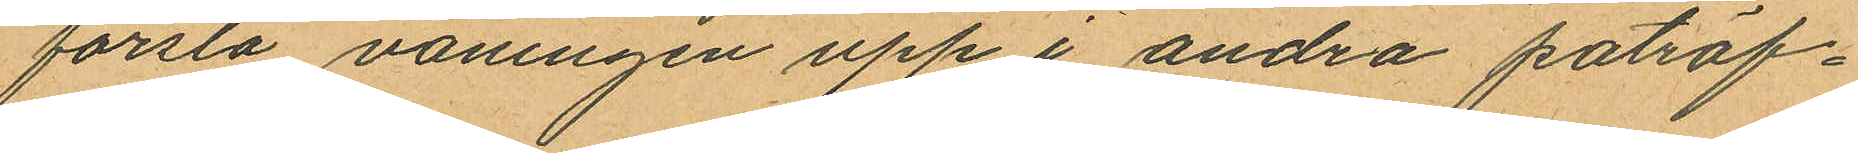forsla våningen upp i andra påträf¬
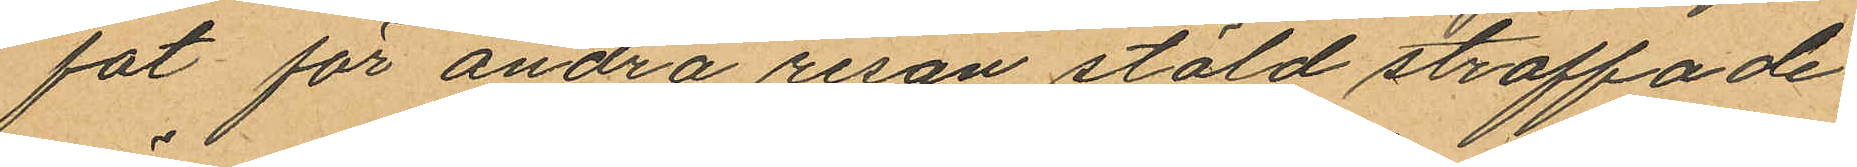fat för andra resan stöld straffade
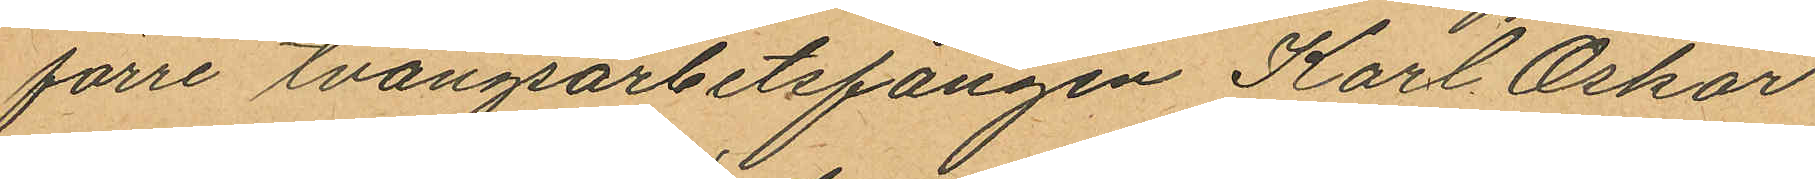förre tvångsarbetsfången Karl Oskar
